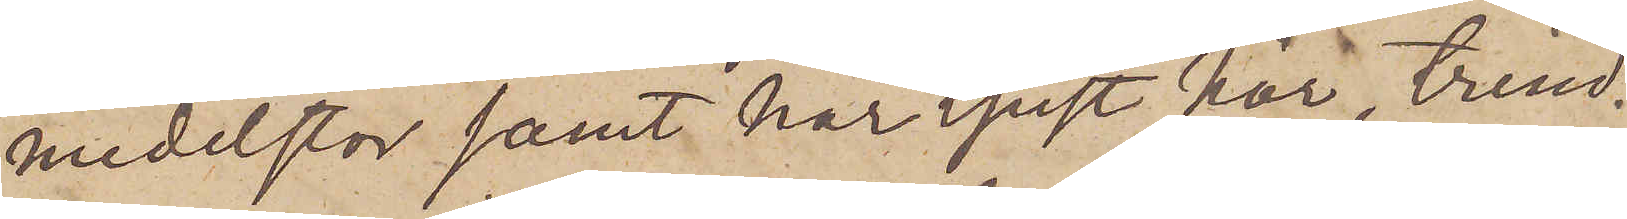medelstor samt har ljust hår, trind¬
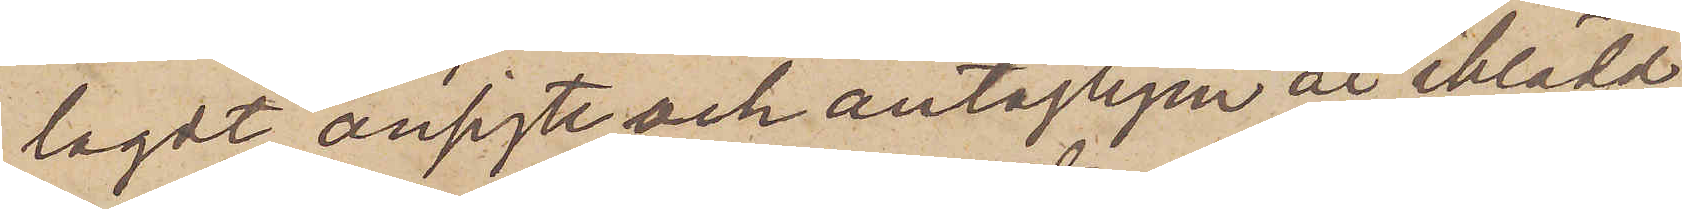lagdt ansigte och antagligen är iklädd
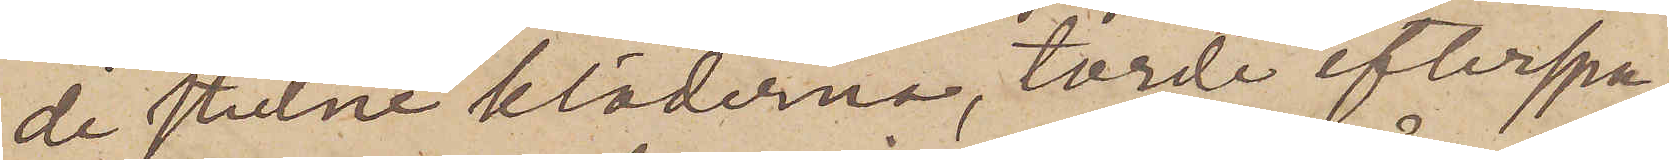de stulne kläderna, torde efterspa¬
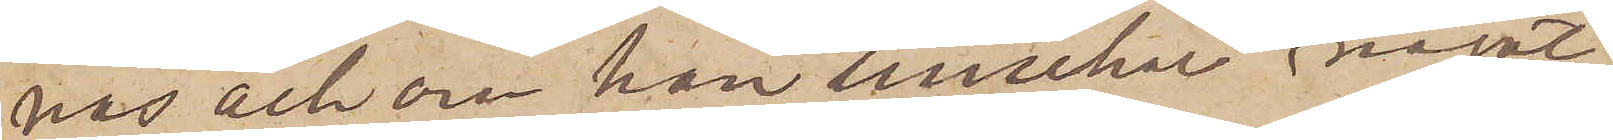nas och om han innehar något
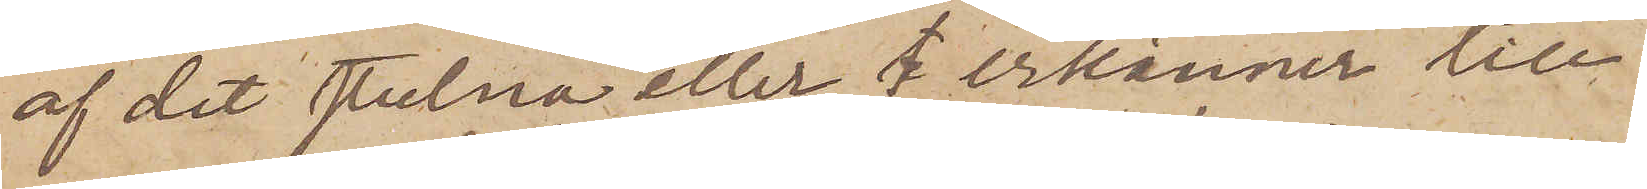af det stulna eller erkänner till¬
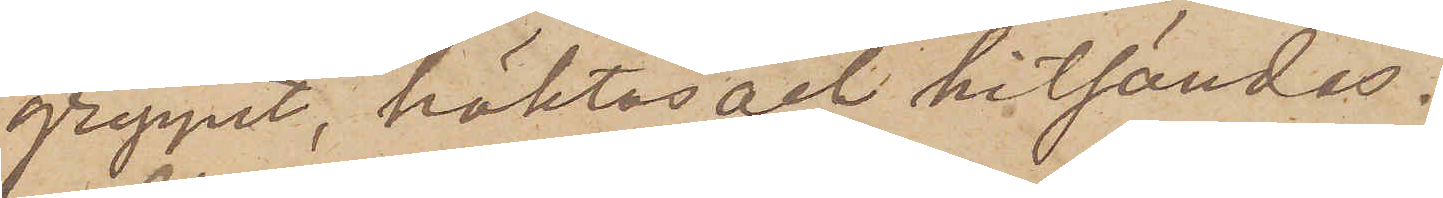greppet, häktas och hitsändas.
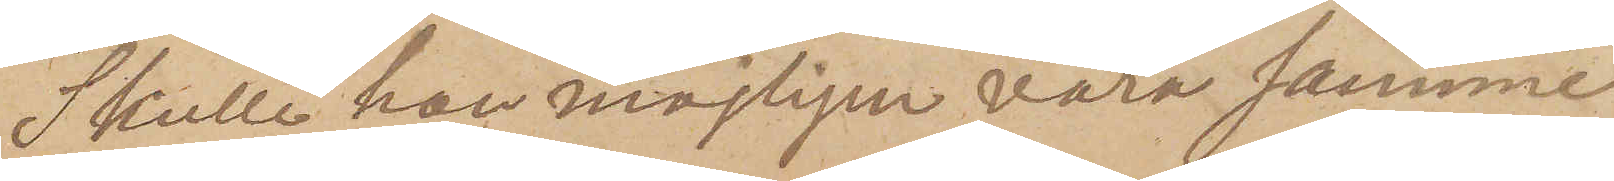Skulle han möjligen vara samme
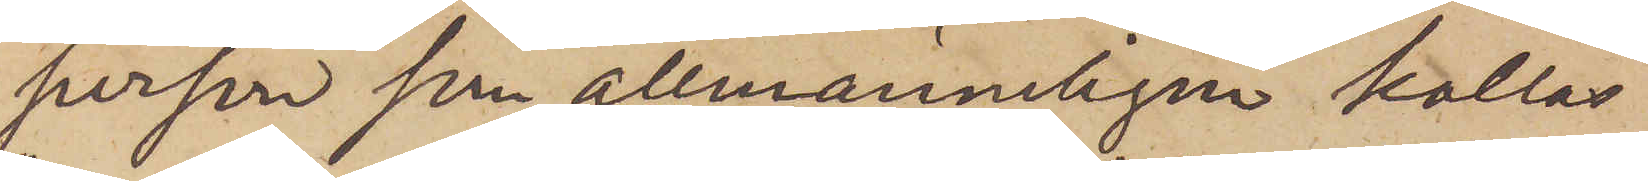person som allmänneligen kallas
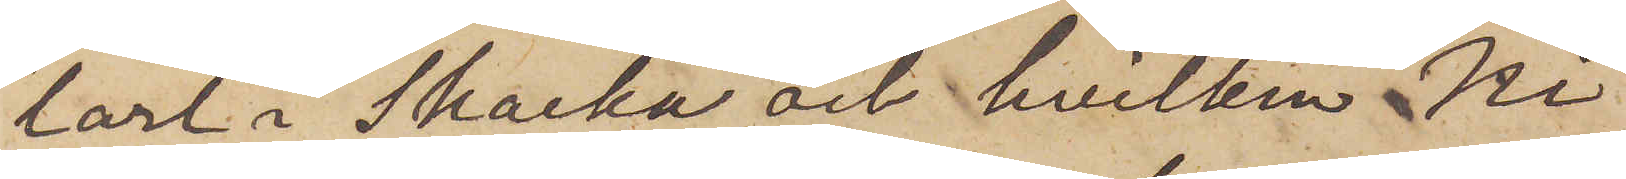"Carl i Skacka" och hvilken Ni
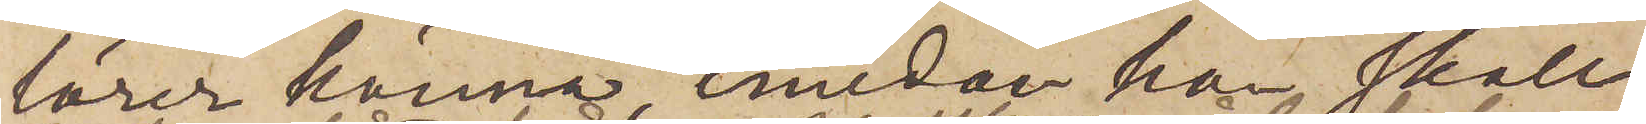lärer känna, emedan han skall
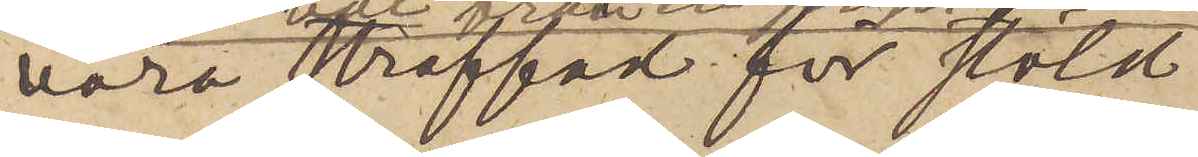vara straffad för stöld
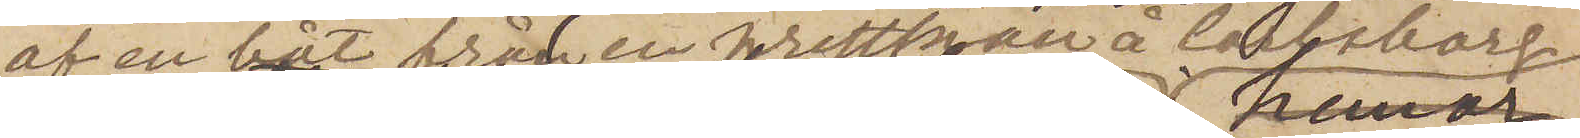af en båt från en prestman å Carlsborg,
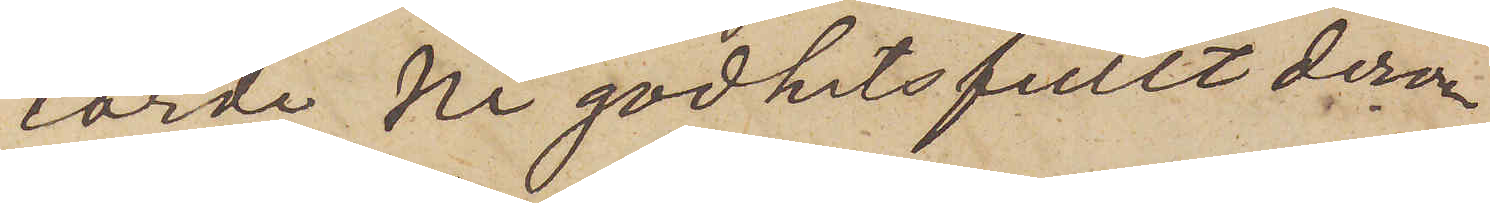torde Ni godhetsfullt derom
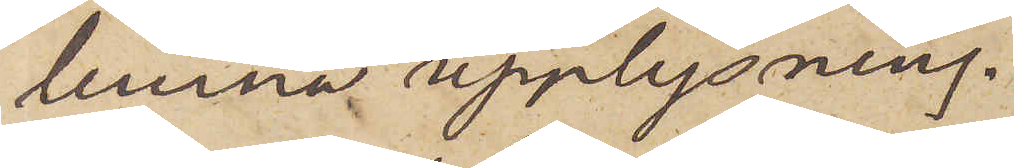lemna upplysning.
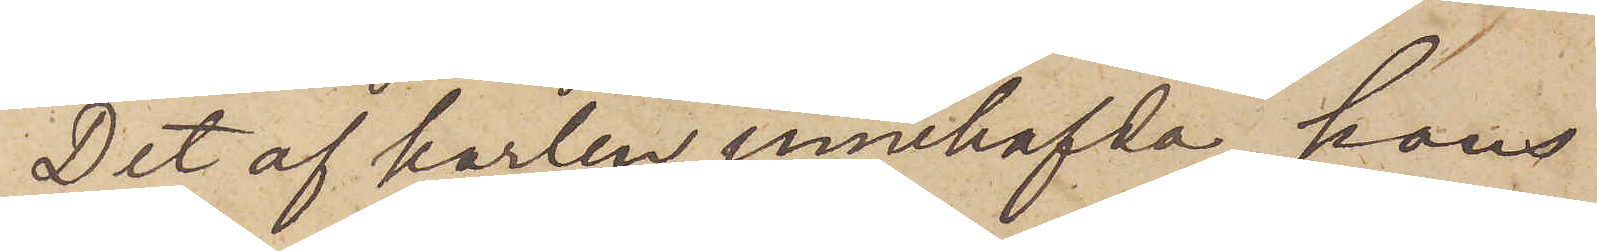Det af karlen innehafda, hans
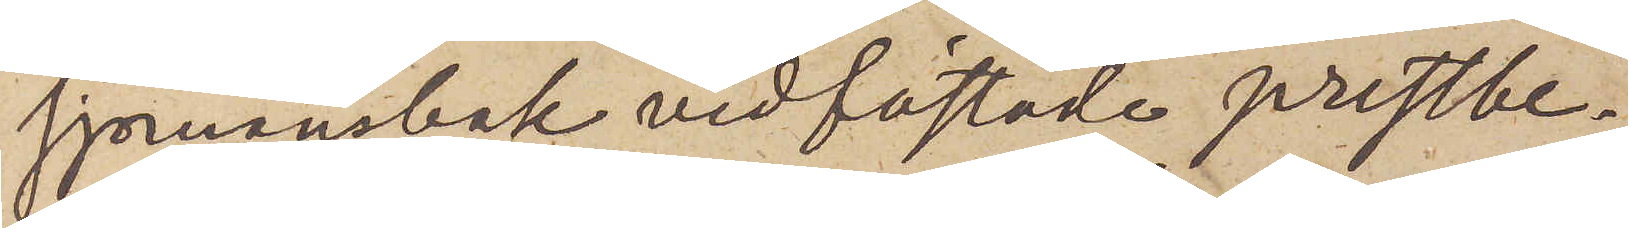sjömanbok vidhäftade prestbe¬
